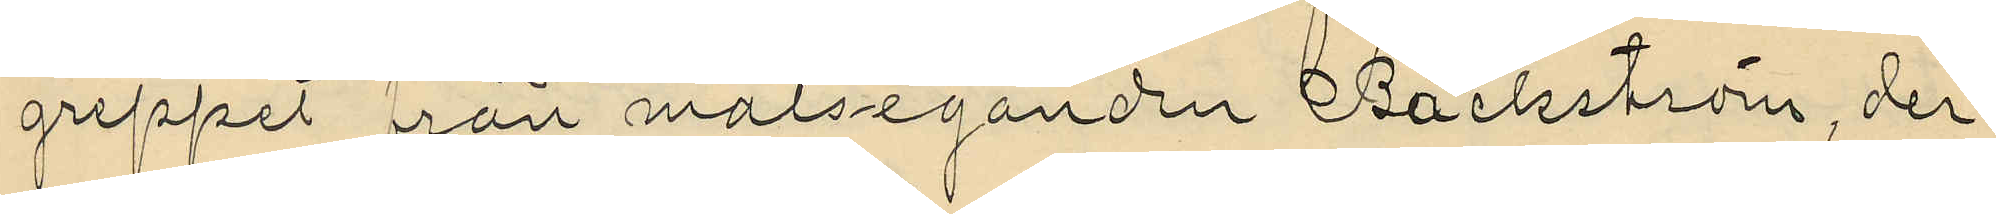greppet från målseganden Bäckström, der
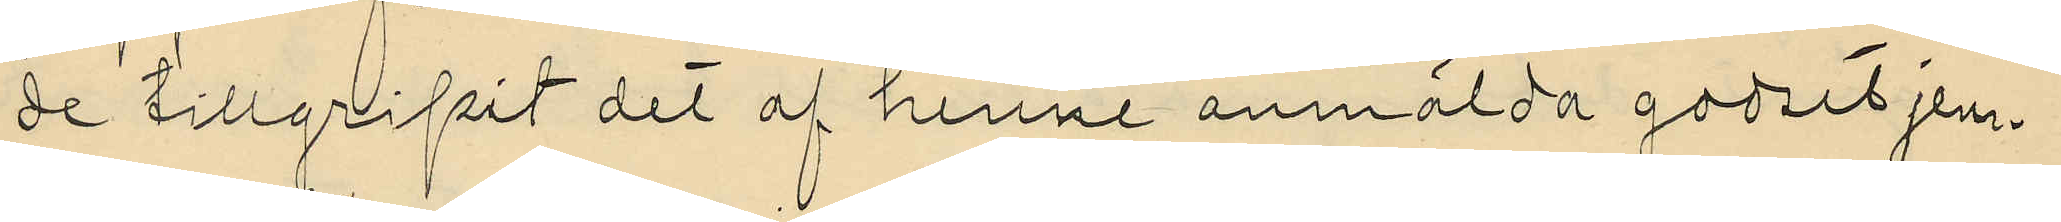de tillgripit det af henne anmälda godset jem¬
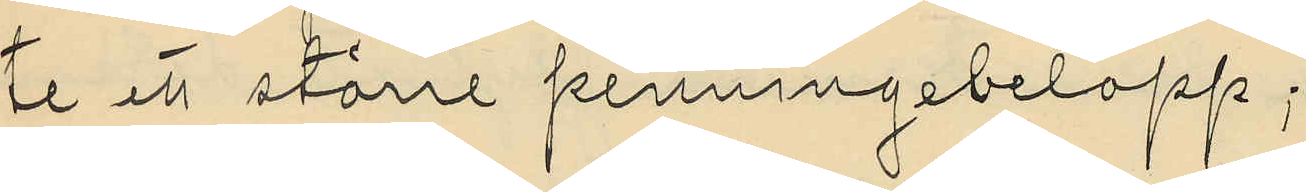te ett större penningebelopp;
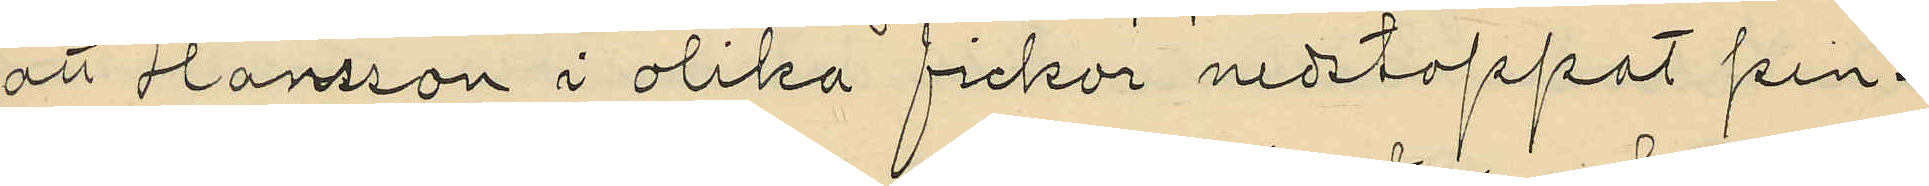att Hansson i olika fickor nedstoppat pen¬
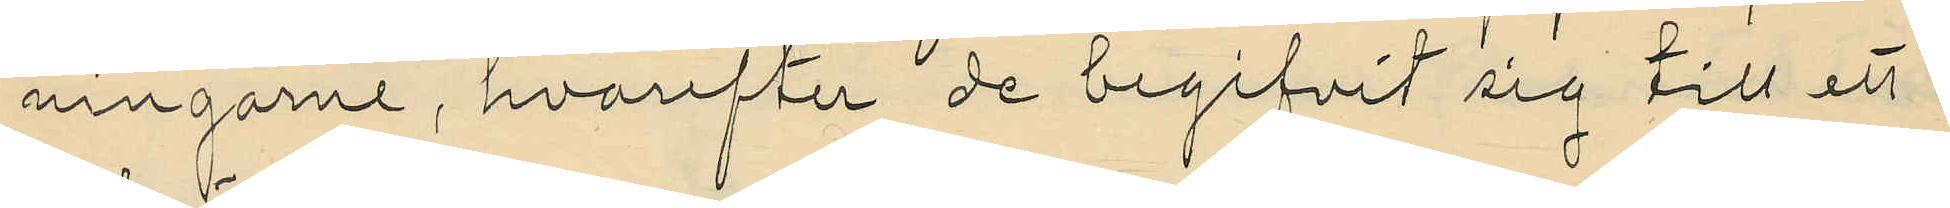ningarne, hvarefter de begifvit sig till ett
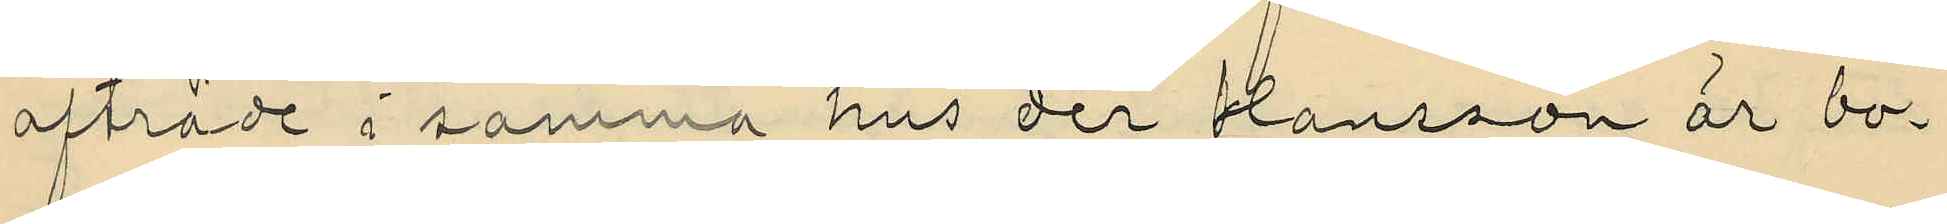afträde i samma hus der Hansson är bo¬
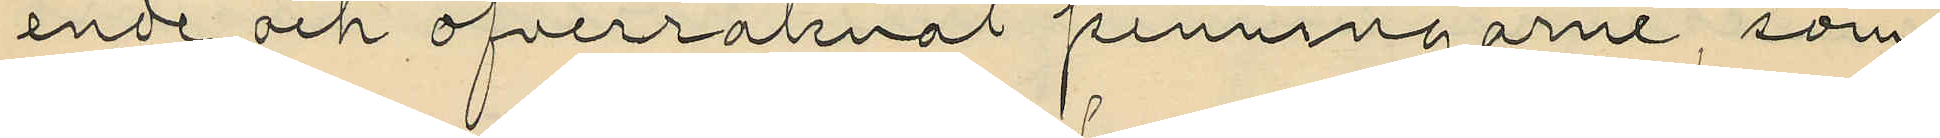ende och öfverräknat penningarne som
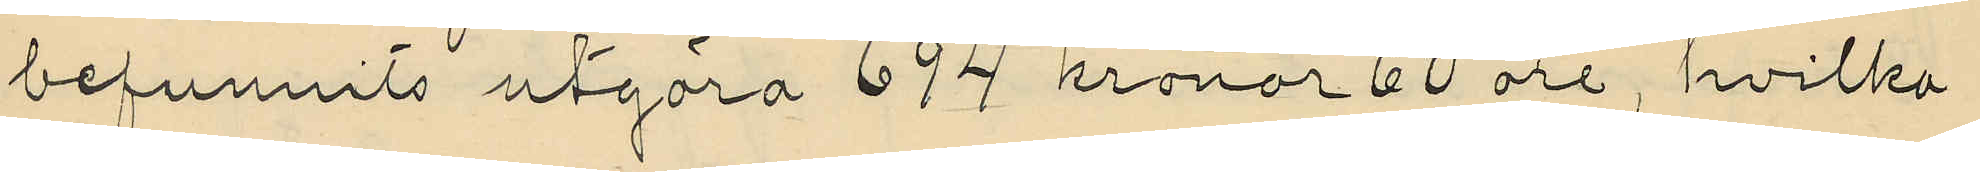befunnits utgöra 694 kronor 60 öre, hvilka
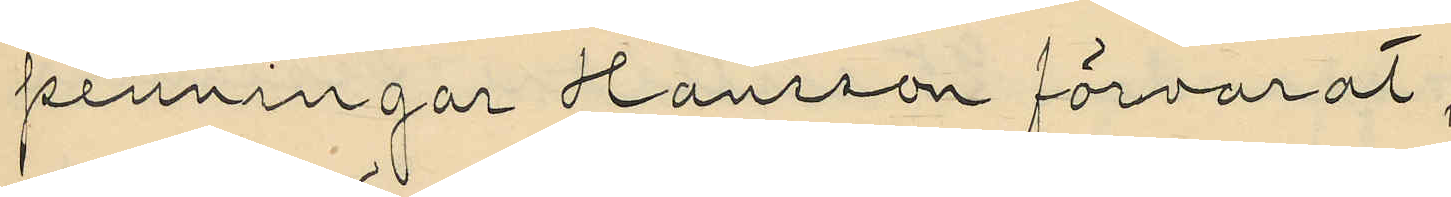penningar Hansson förvarat,
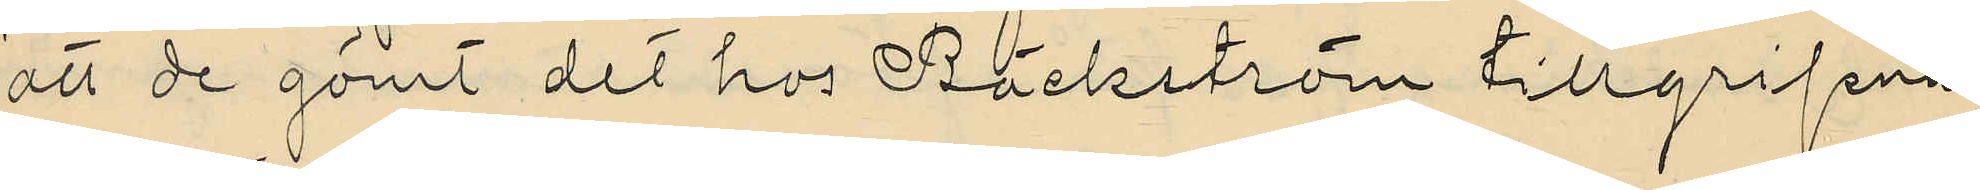att de gömt det hos Bäckström tillgripna
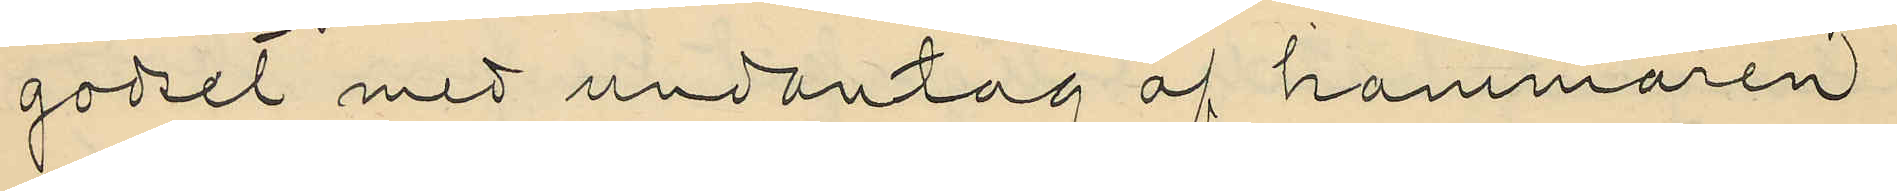godset med undantag af hammaren
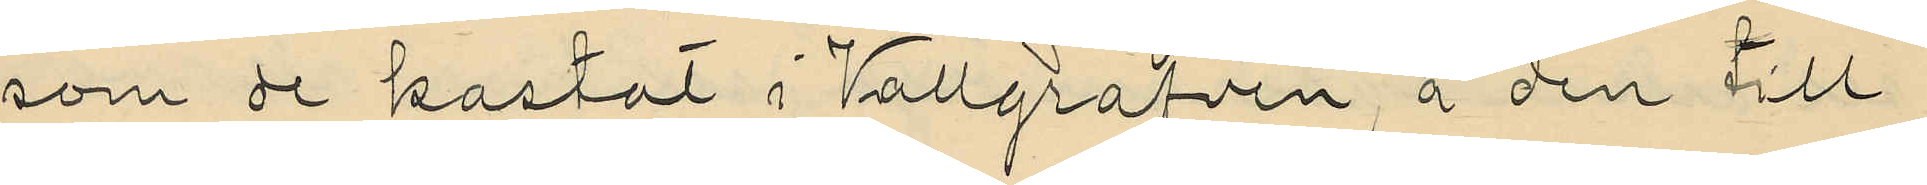som de kastat i Vallgrafven, å den till
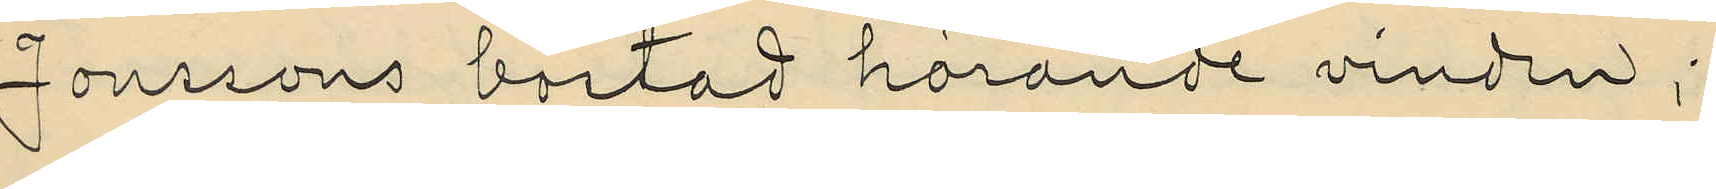Jonssons bostad hörande vinden;
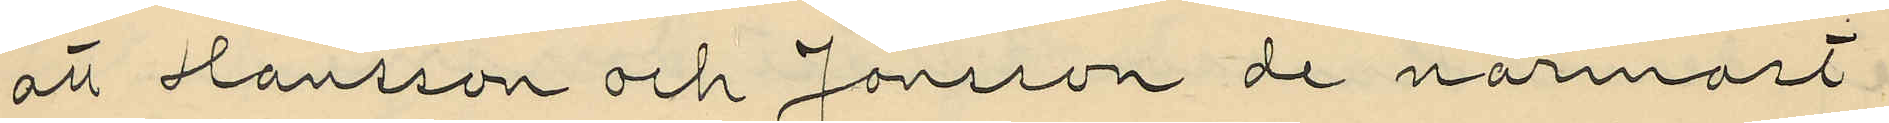att Hansson och Jonsson de närmast
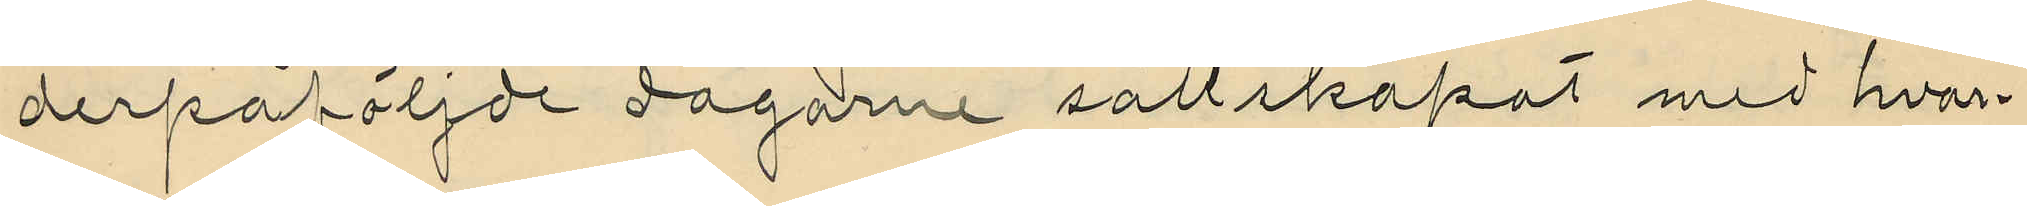derpåföljde dagarne sällskapat med hvar¬
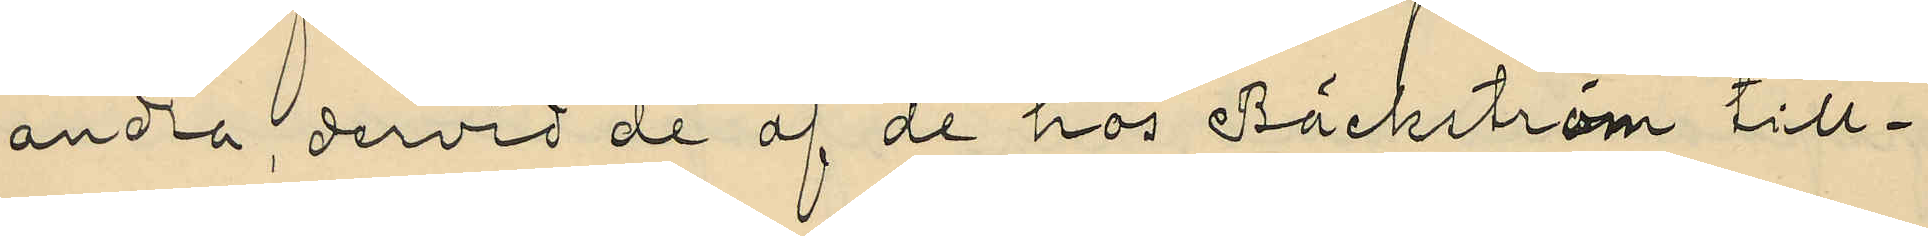andra, dervid de af de hos Bäckström till¬
